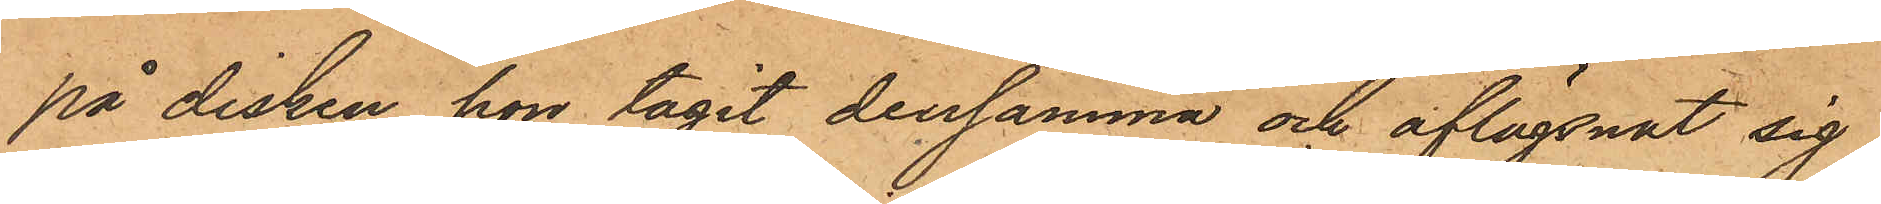på disken, hon tagit densamma och aflägsnat sig,
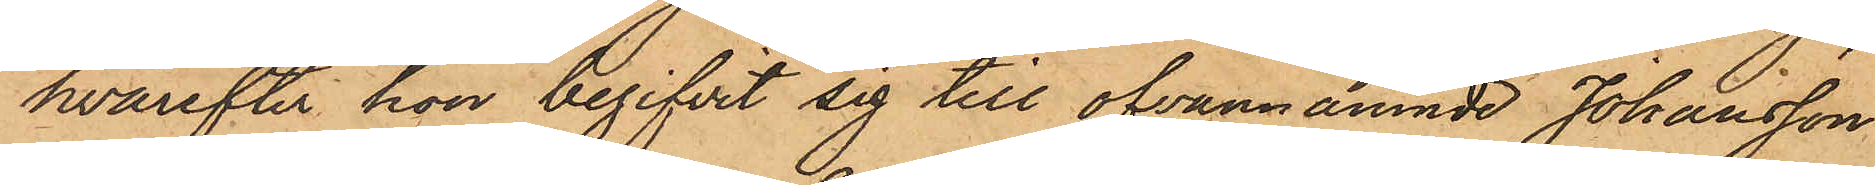hvarefter hon begifvit sig till ofvannämnde Johansson
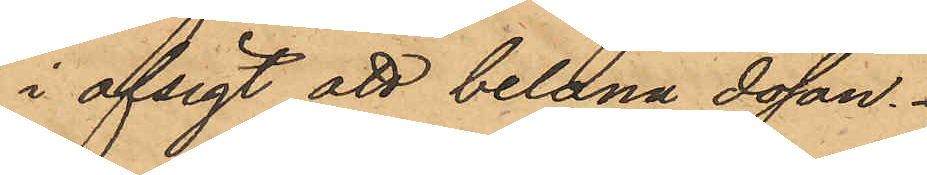i afsigt att belåna dosan.
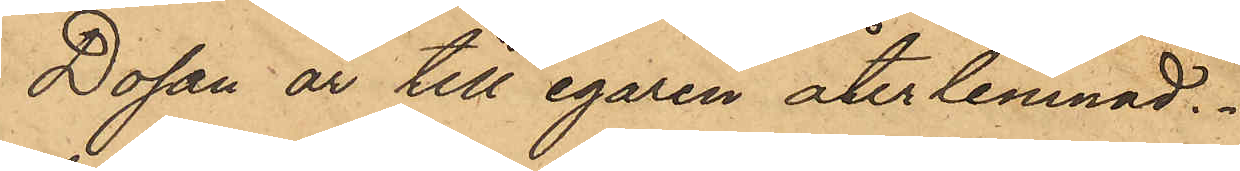Dosan är till egaren återlemnad.
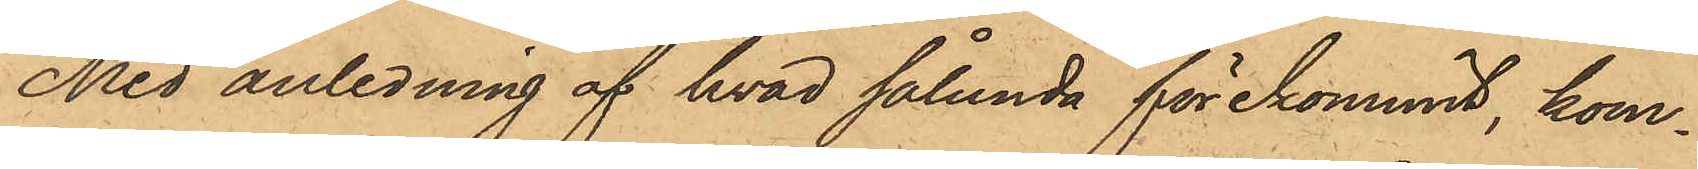Med anledning af hvad sålunda förekommit, kom¬
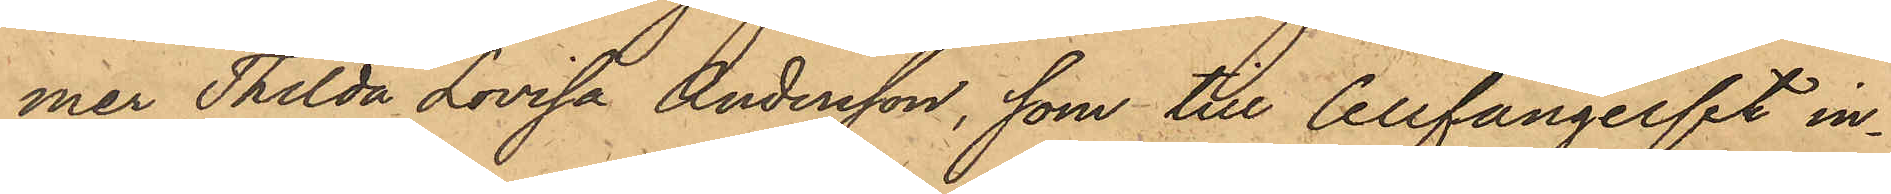mer Thilda Lovisa Andersson, som till Cellfängelset in¬
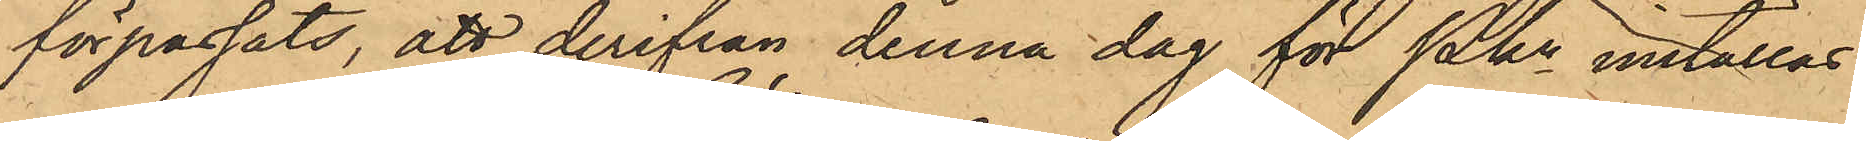förpassats, att derifrån denna dag för Pkn inställas.
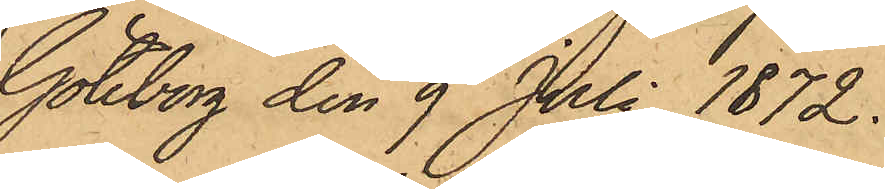Göteborg den 9 Juli 1872.
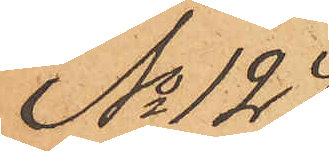No 124
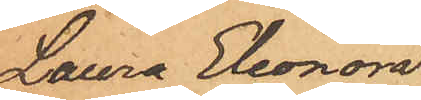Laura Eleonora
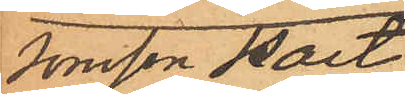Jonsson Hast
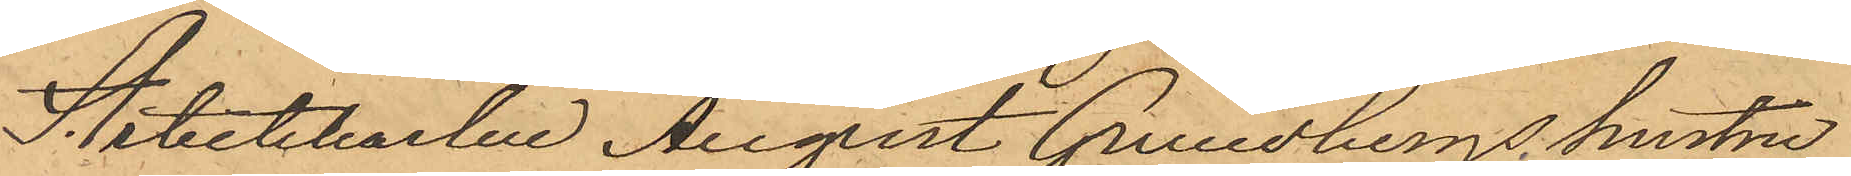Arbetskarlen August Grundbergs hustru
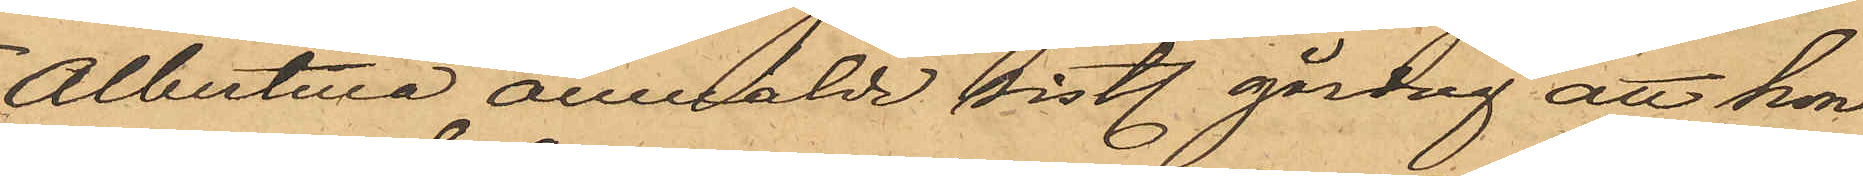Albertina anmälde sistl. gårdag att hon
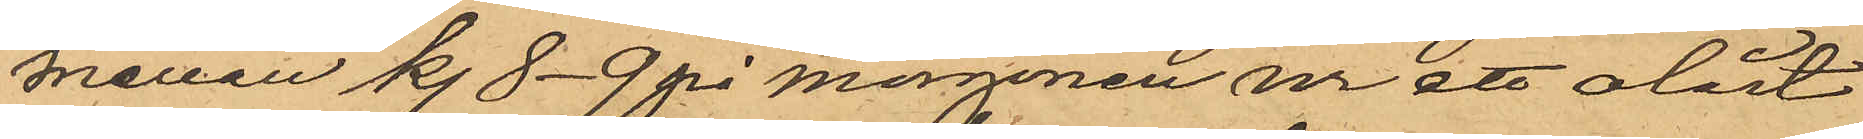mellan kl. 8-9 på morgonen ur ett olåst
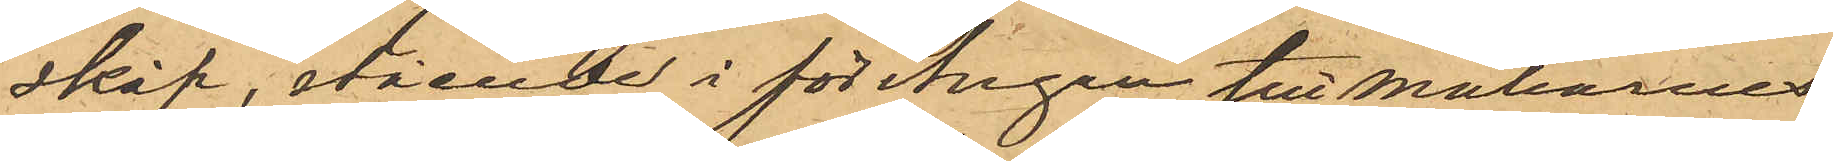skåp, stående i förstugan till makarnes
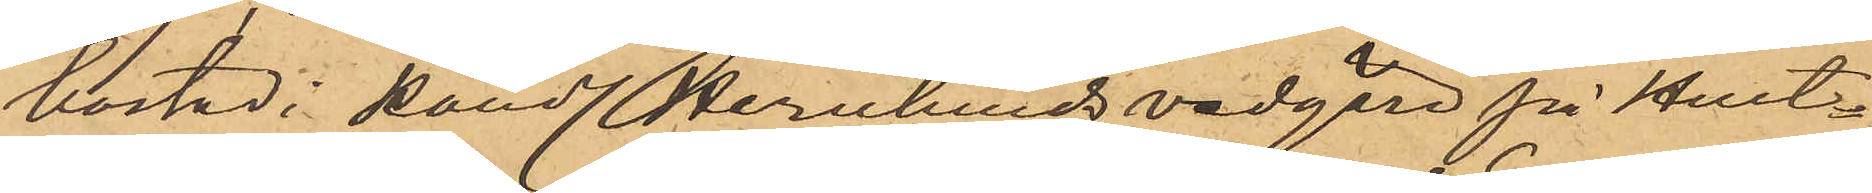bostad i Handl. Hernlunds vedgård på Hult¬
